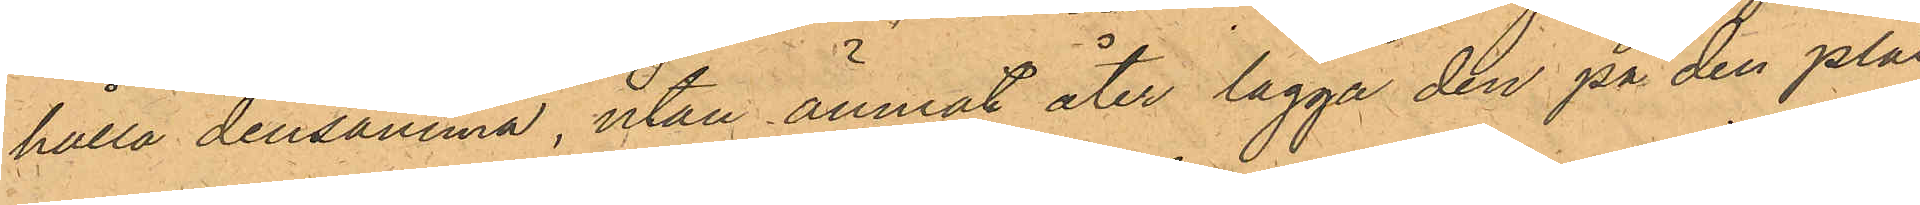hålla densamma, utan ämnat åter lägga den på den plats
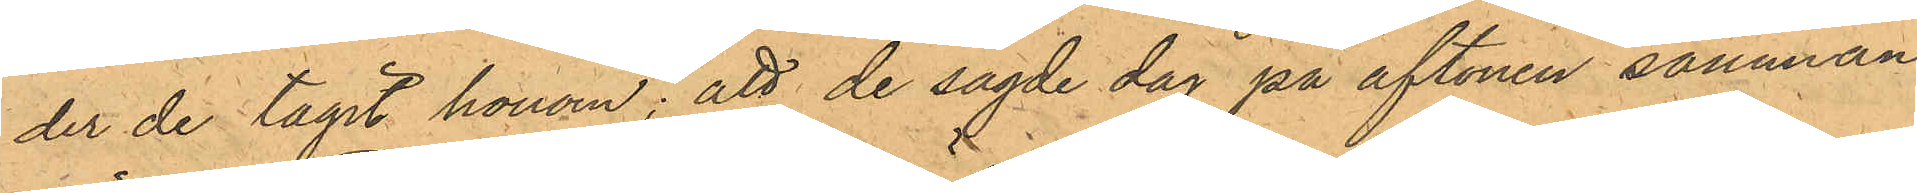der de tagit honom; att de sagde dag på aftonen samman¬
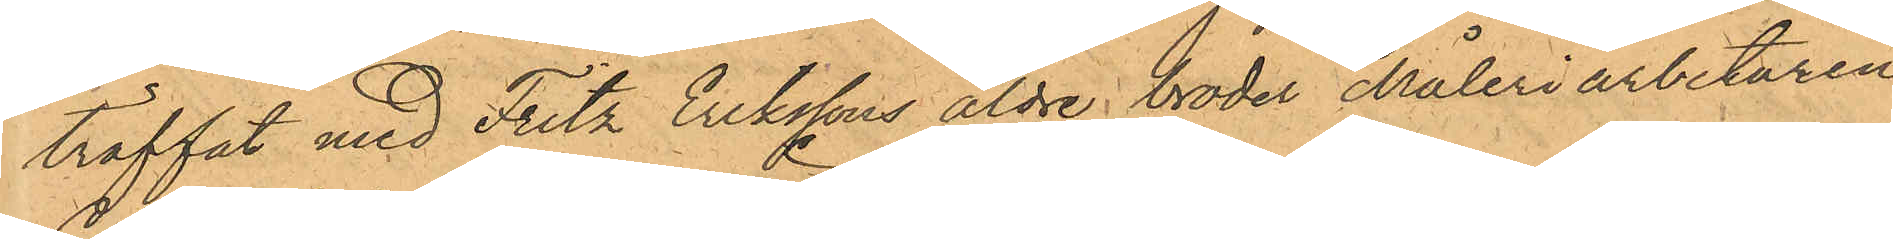träffat med Fritz Erikssons äldre broder Måleriarbetaren
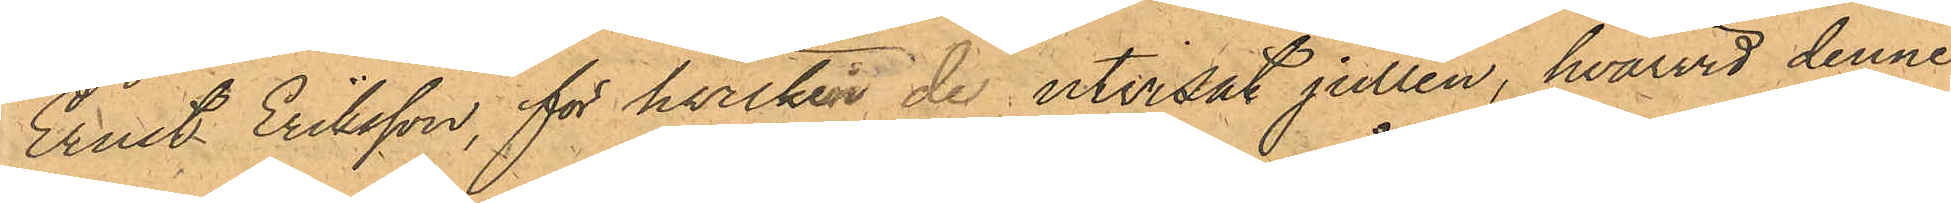Ernst Eriksson, för hvilken de utvisat jullen, hvarvid denne
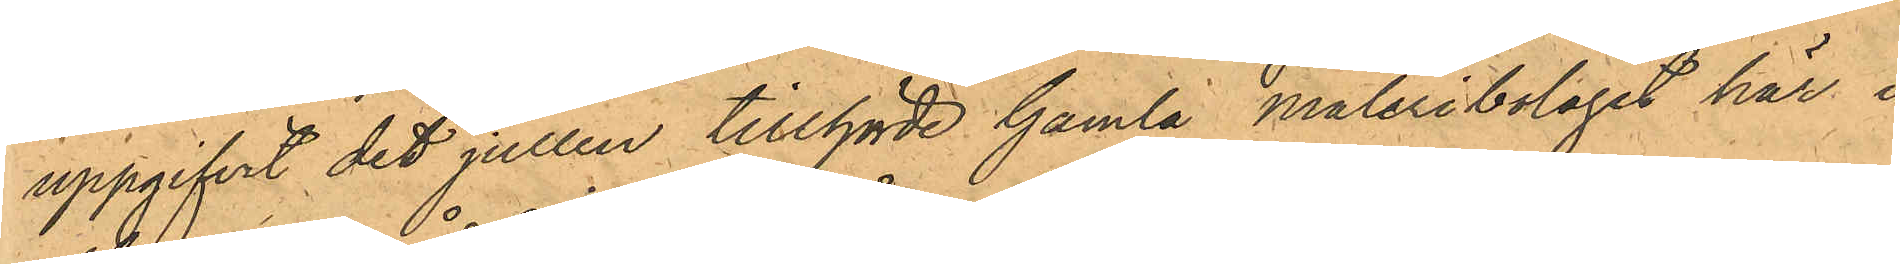uppgifvit det jullen tillhörde Gamla måleribolaget här i
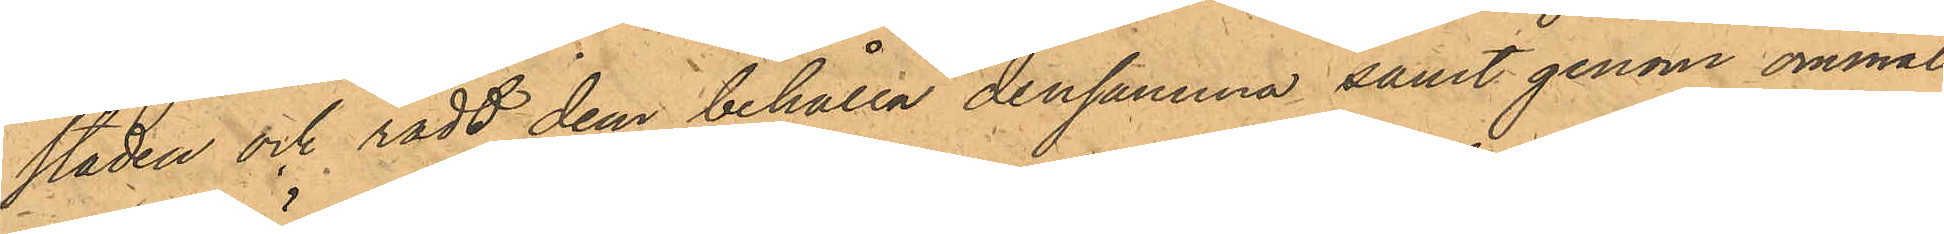staden och rådt dem behålla densamma samt genom ommål¬
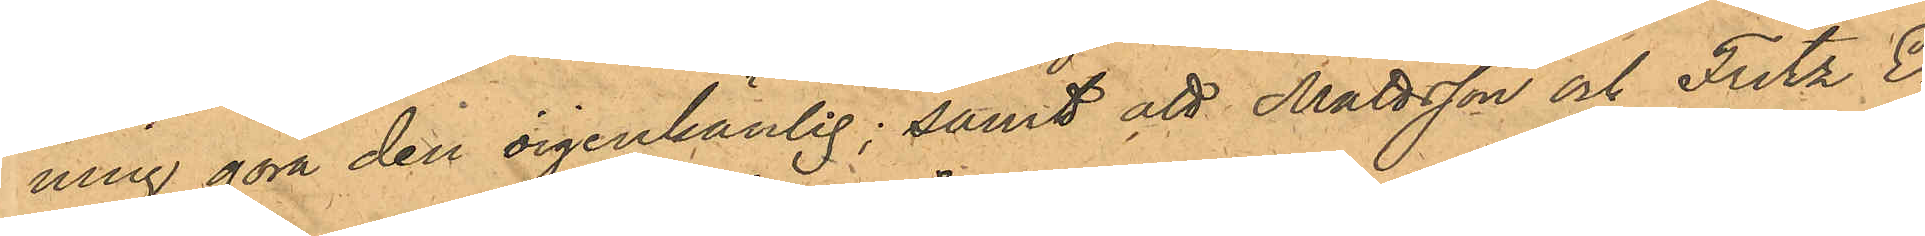ning göra den oigenkänlig; samt att Mattsson och Fritz E¬
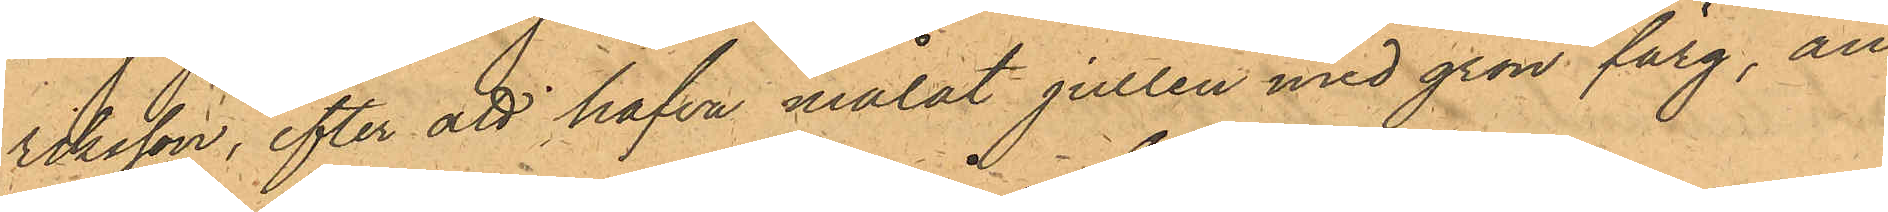riksson, efter att hafva målat jullen med grön färg, an¬
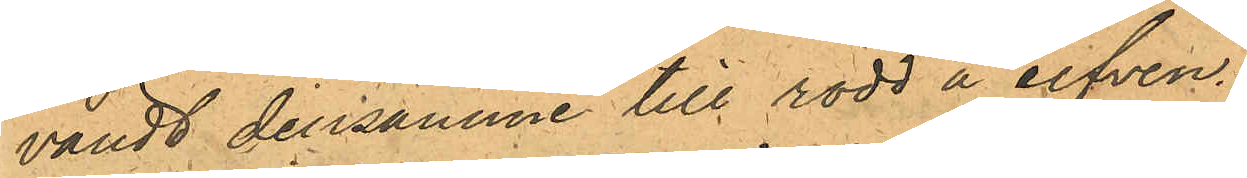vändt densamme till rodd å elfven.
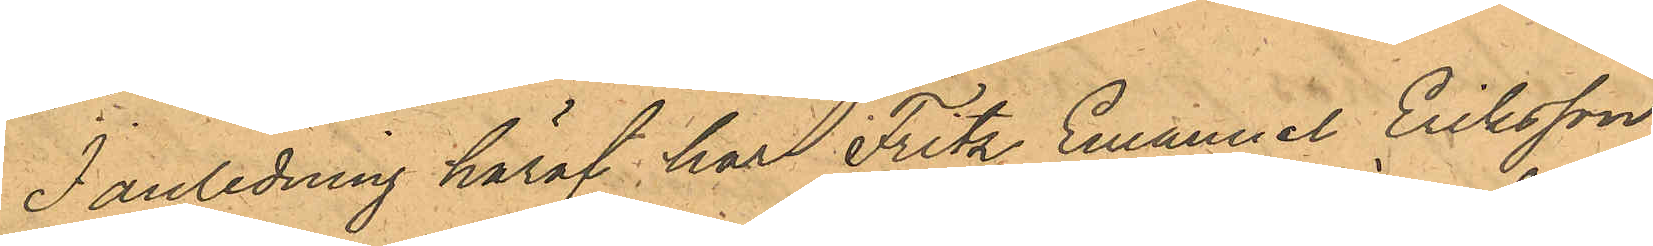I anledning häraf, har Fritz Emanuel Eriksson
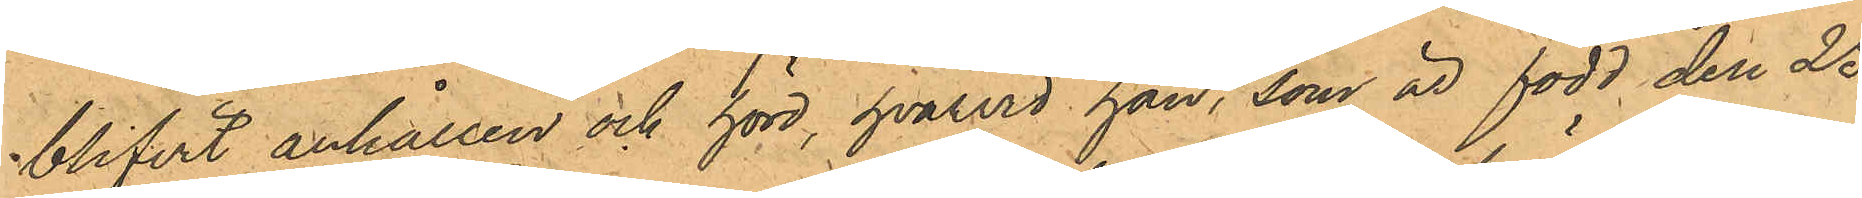blifvit anhållen och hörd, hvarvid han, som är född den 25
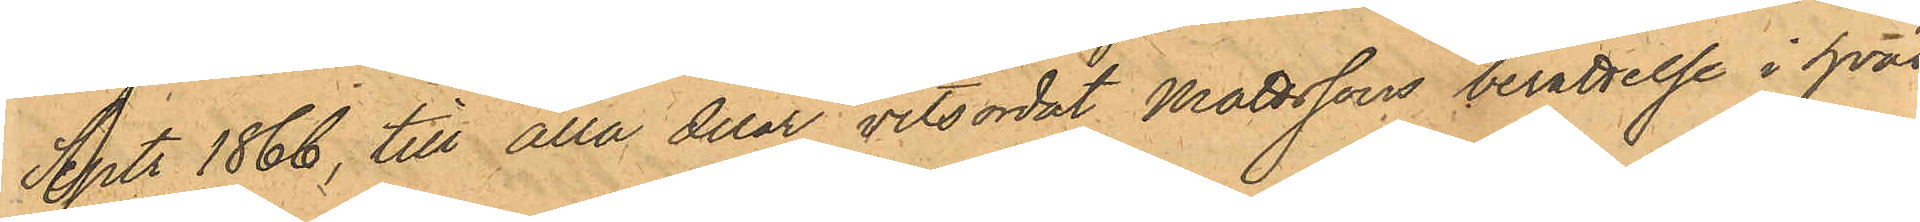Sept 1866, till alla delar vitsordat Mattssons berättelse i hvad
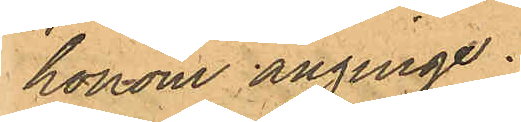honom anginge.
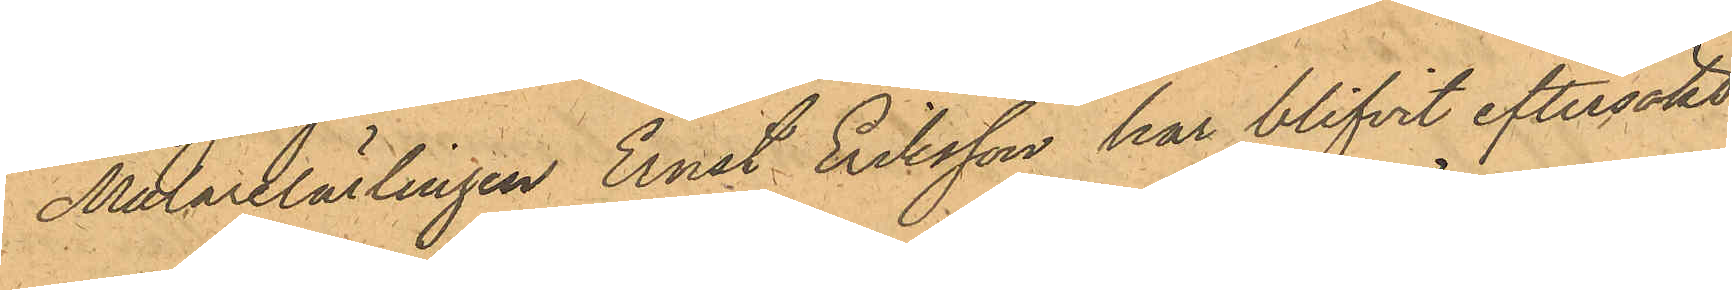Målarelärlingen Ernst Eriksson har blifvit eftersökt,
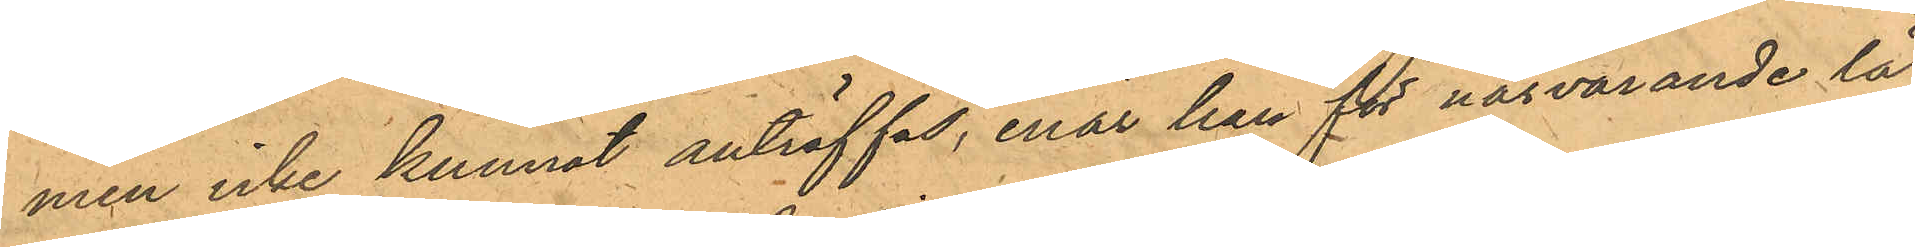men icke kunnat anträffas, enär han för närvarande lä¬
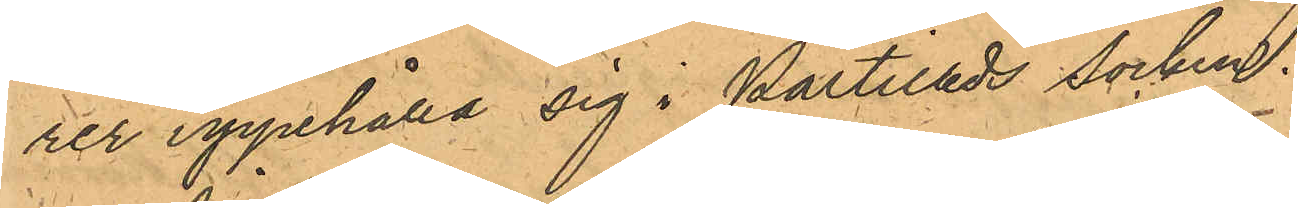rer uppehålla sig i Partilleds socken.
